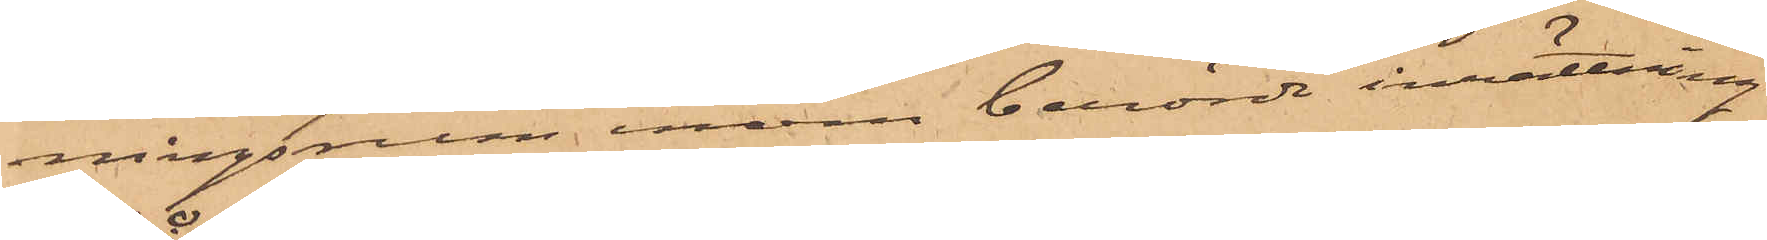ningsrum, inom berörde inrättning
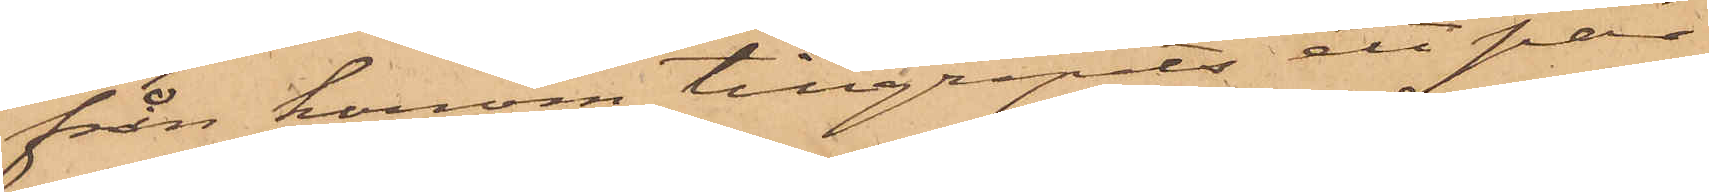från honom tillgripits ett par
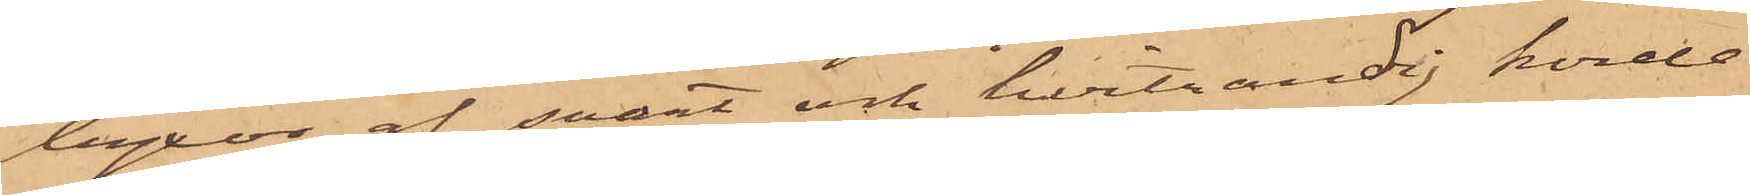byxor af svart och hvitrandig korde¬
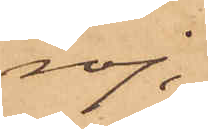roj,
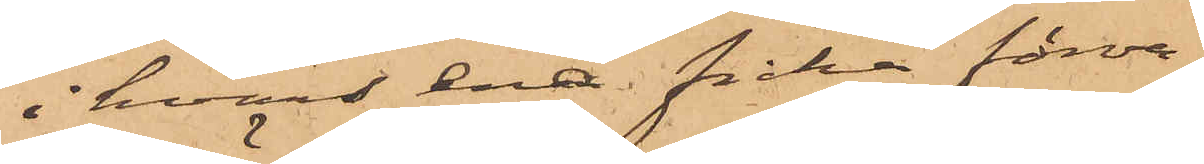i hvars ena ficka förva¬
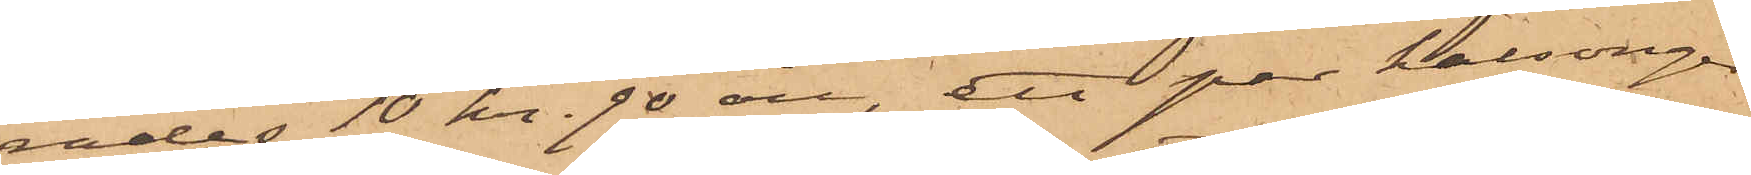rades 10 kr. 90 öre, ett par kalsonger,
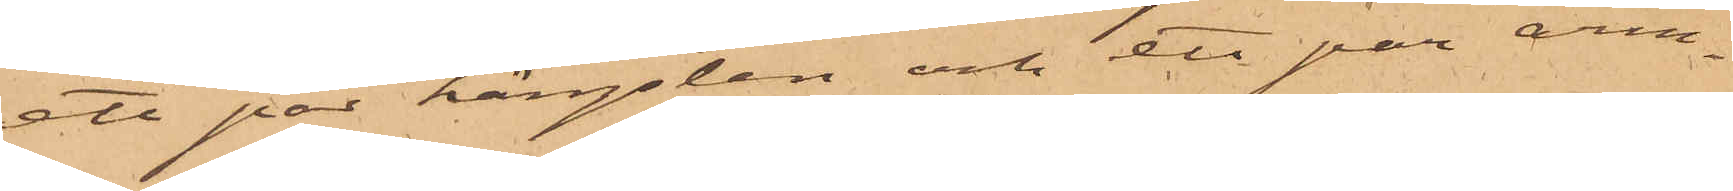ett par hängslen och ett par arm¬
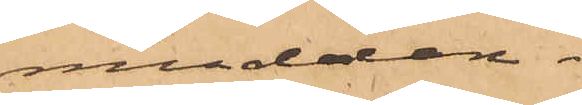meddor
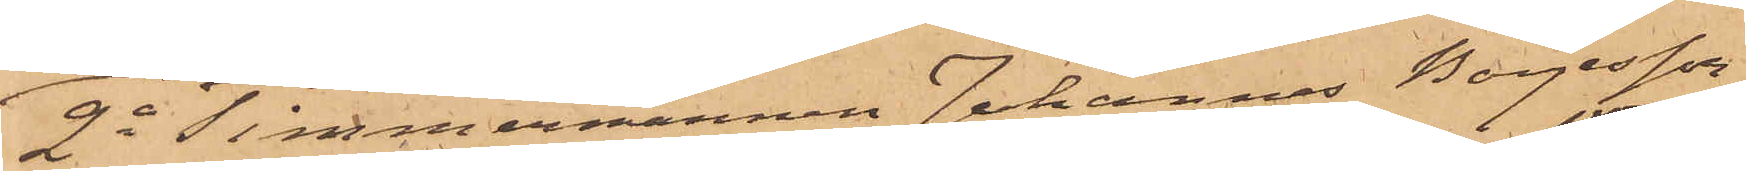2o Timmermannen Johannes Börjesson
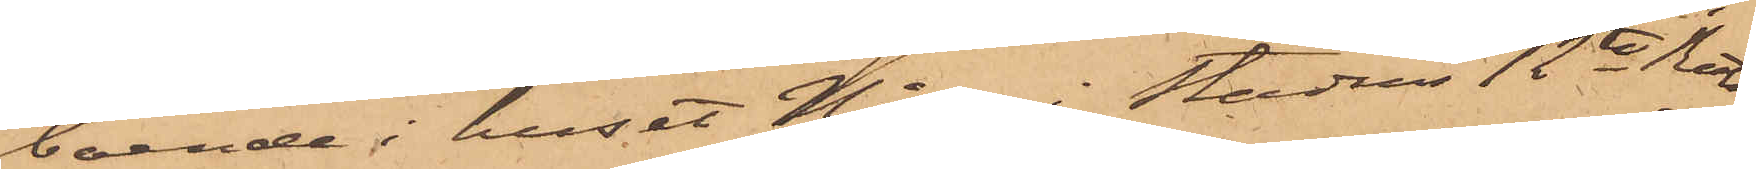boende i huset No i stadens 12te Rote,
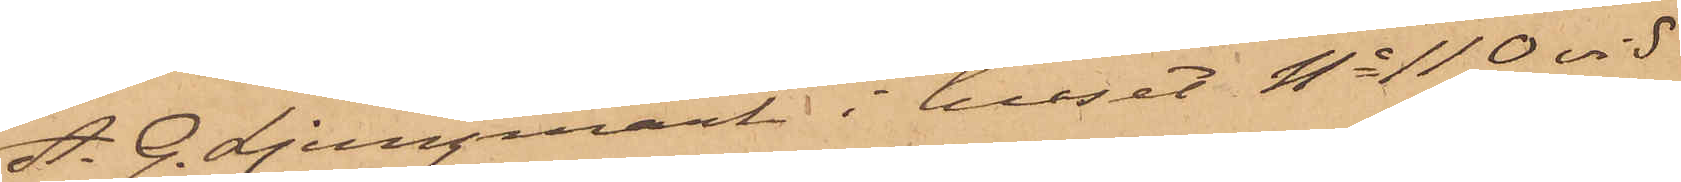A. G. Ljungmark i huset No 110 vid
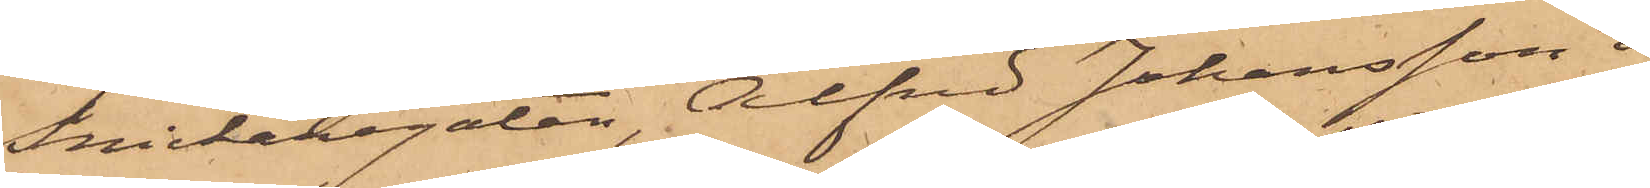Snickaregatan, Alfred Johansson i
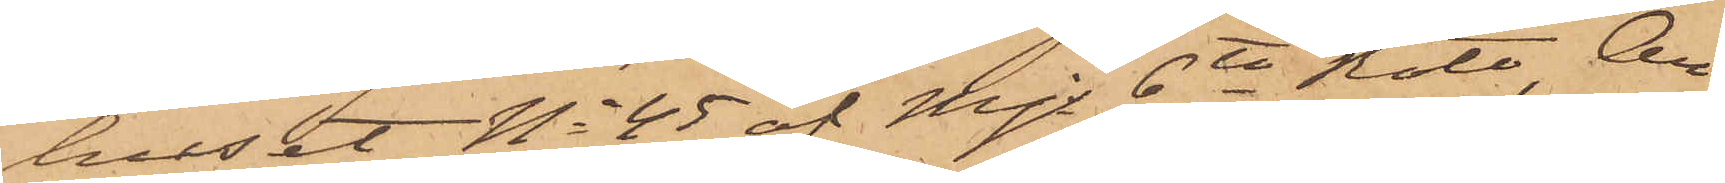huset No 45 af Mjs 6te Rote, An¬
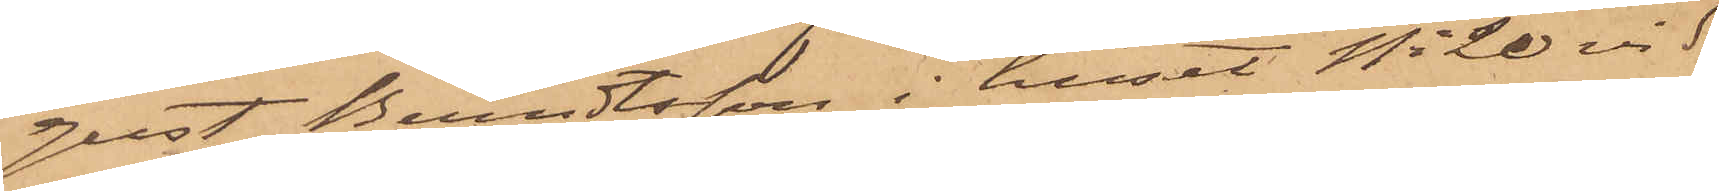gust Berndtsson i huset No 20 vid
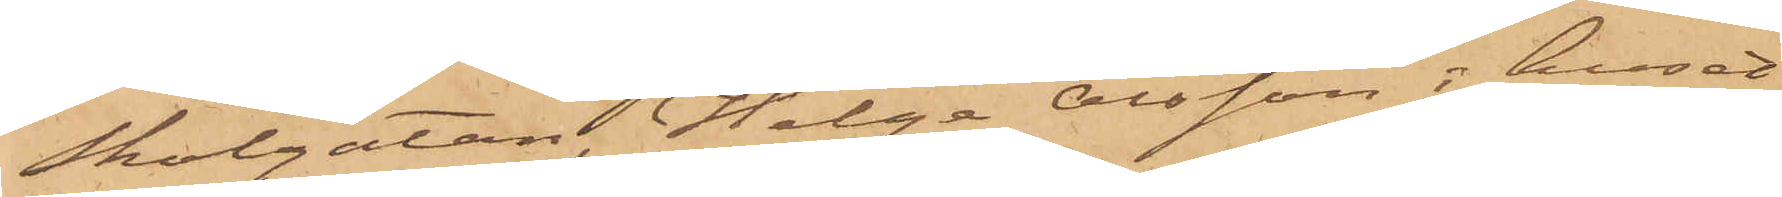Skolgatan, Helga Olsson i huset
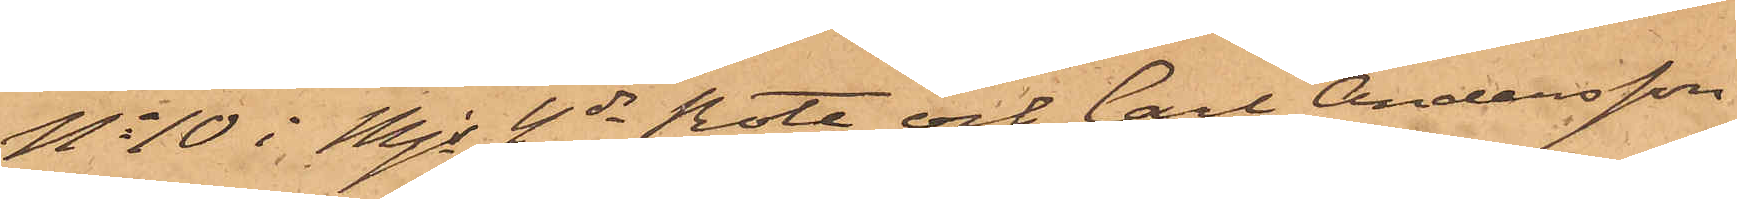No 10 i Mjs 4de Rote och Carl Andersson
